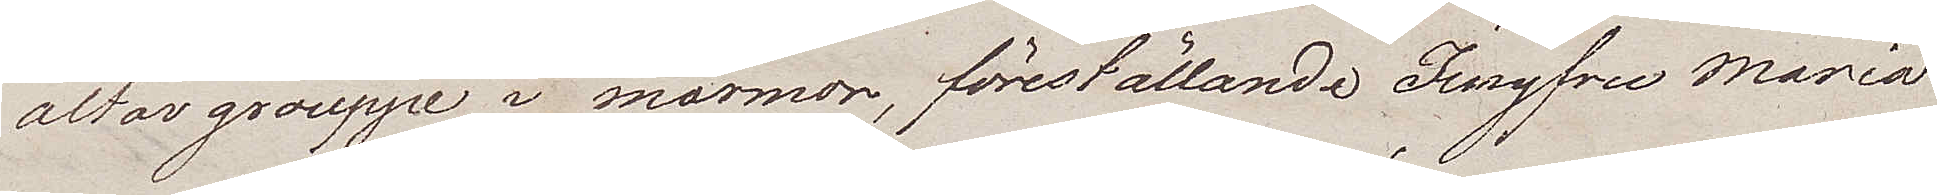altar grouppe i marmor, föreställande Jungfru Maria
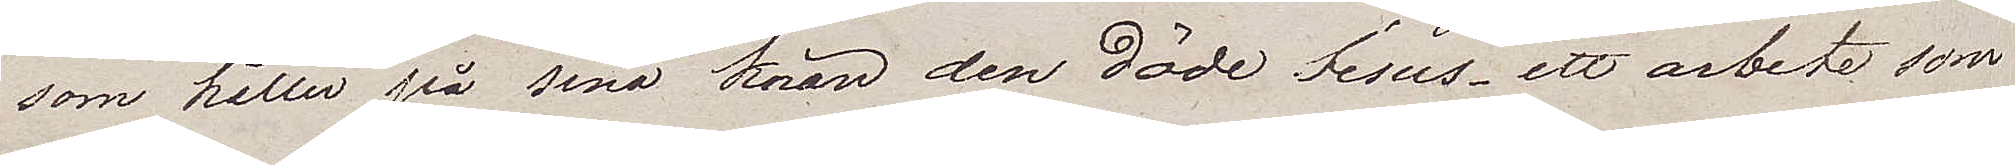som håller på sina knän den döde Jesus – ett arbete som
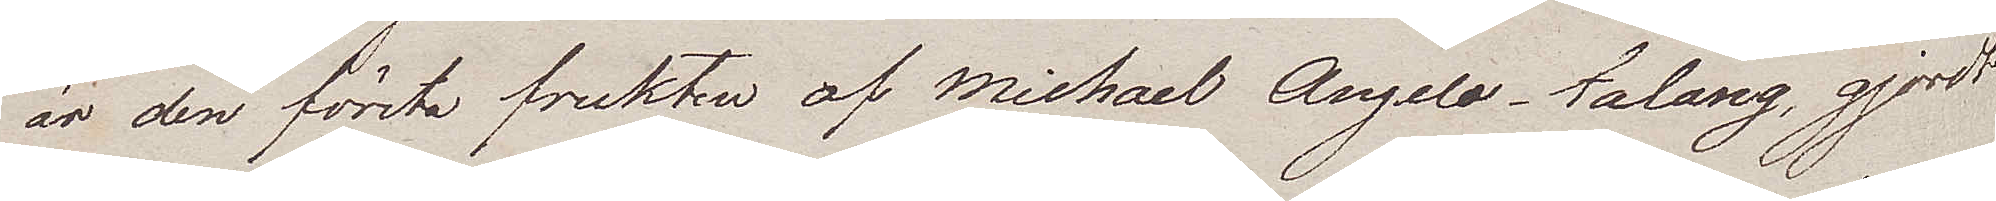är den första frukten av Michael Angelo talang, gjordt
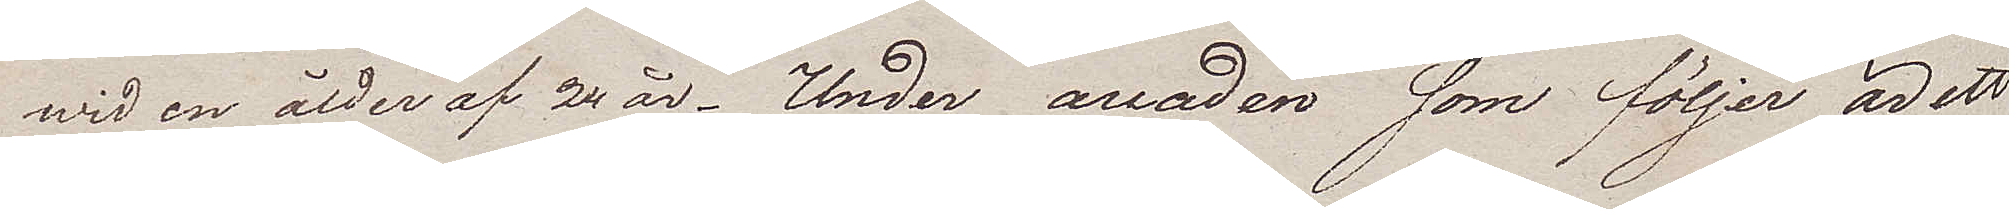wid en ålder af 24 år. Under arcaden som följer är ett
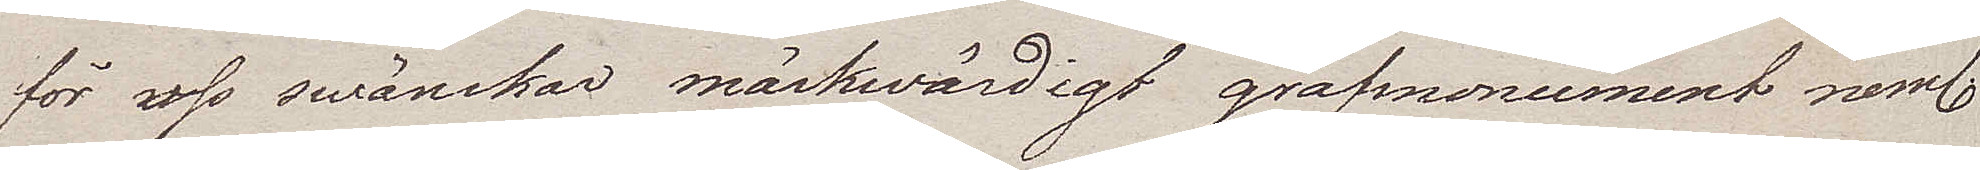för oss swänskar märkwärdigt grafmonument neml.
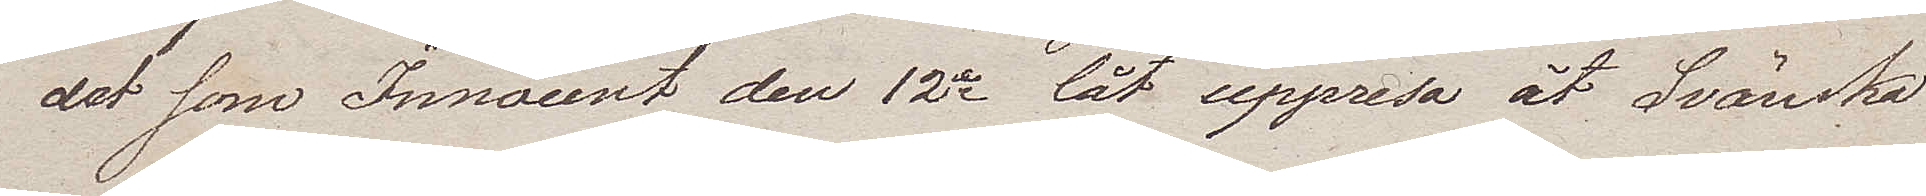det som Innocent den 12e lät uppresa åt Svänska
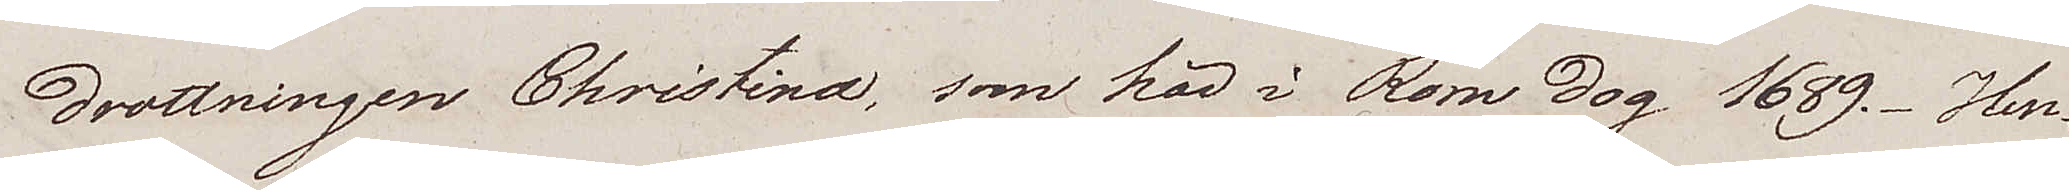drottningen Christina, som här i Rom dog 1689. Hen¬
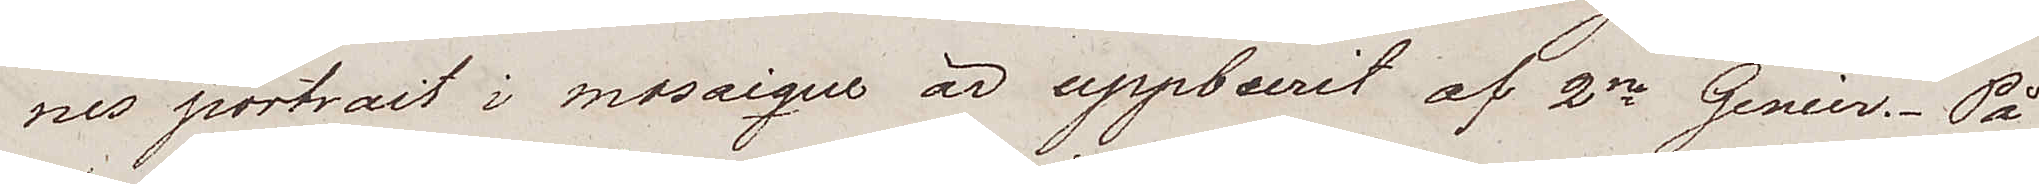nes portrait i mosaique är uppburit af 2ne Genier. På
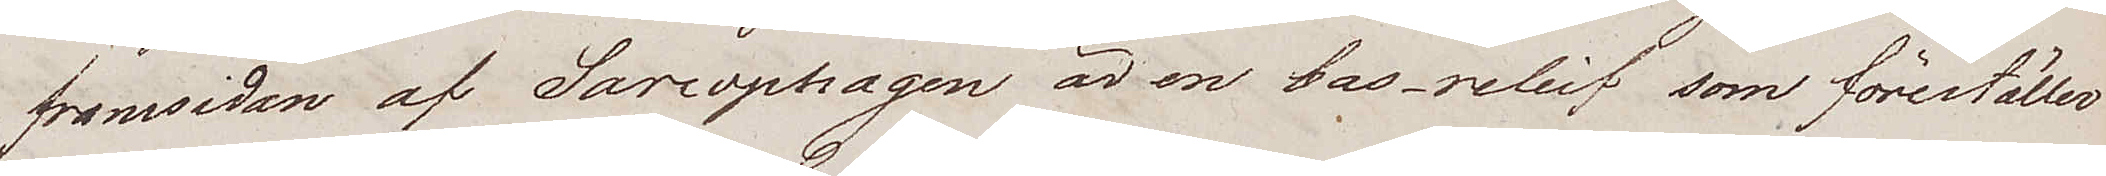framsidan av Sarcophagen är en bas-relief som föreställer
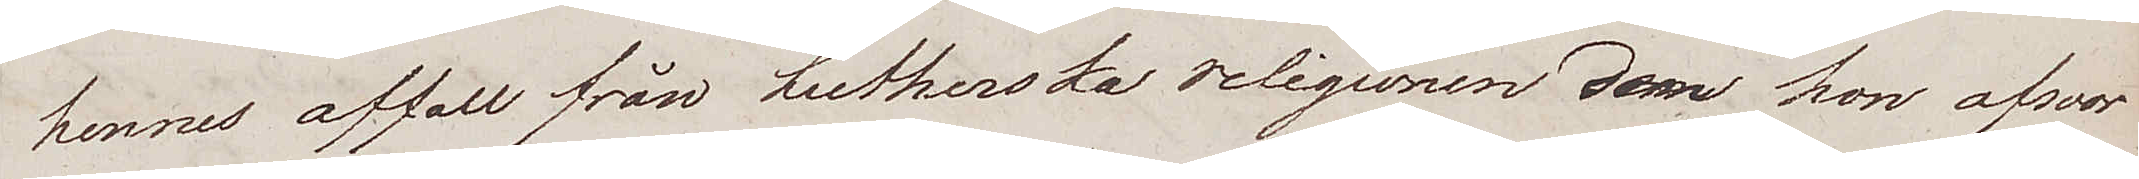hennes affall från Lutherska religionen den hon afsvor
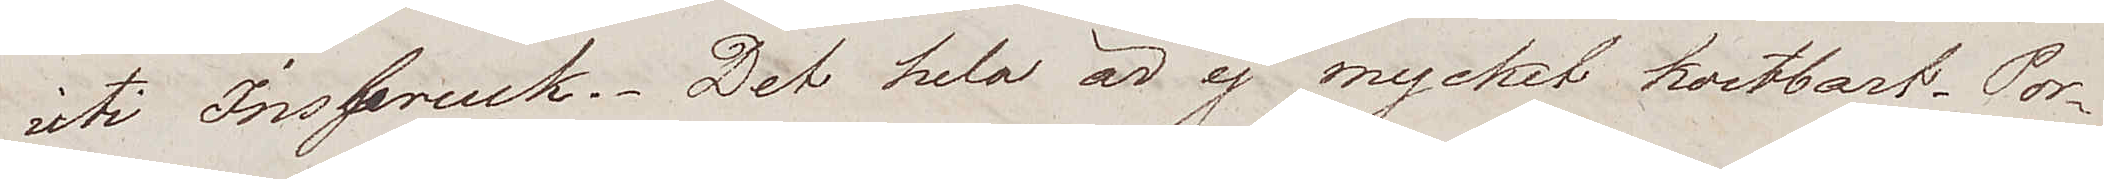uti Insbruck. Det hela är ej mycket kostbart. Por¬
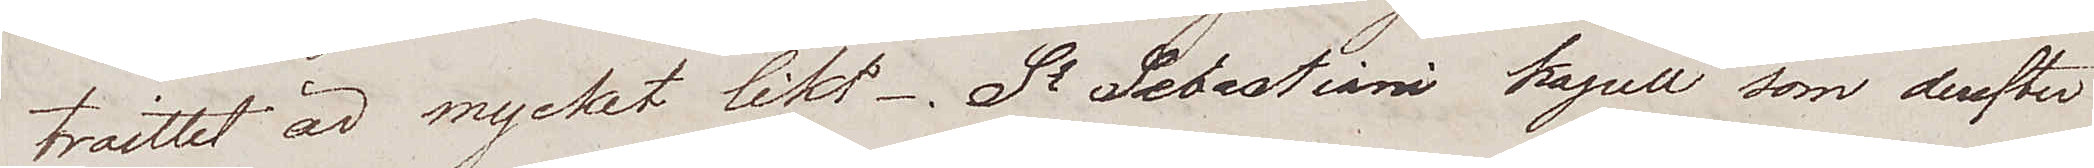traittet är mycket likt. St Sebastiani kapell som derefter
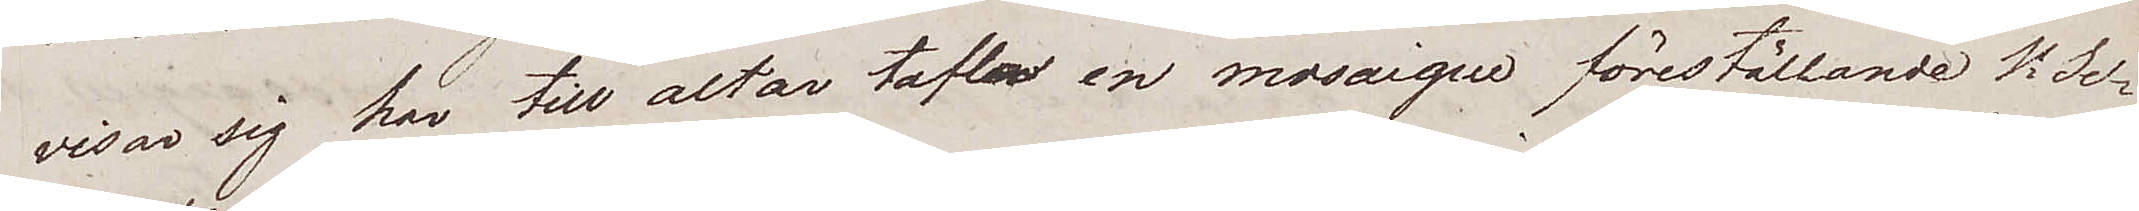visar sig har till altar tafla en mosaique föreställande St Se¬
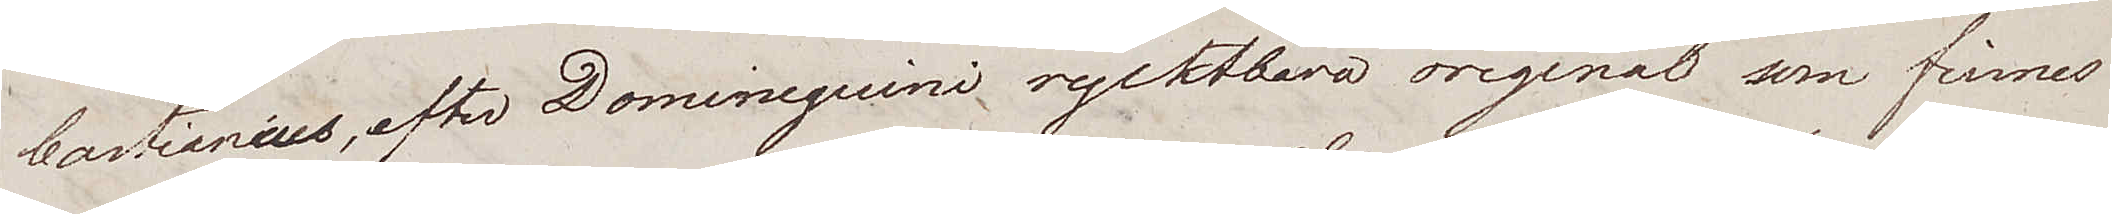bastianius, efter Dominequini ryktbara original som finnes
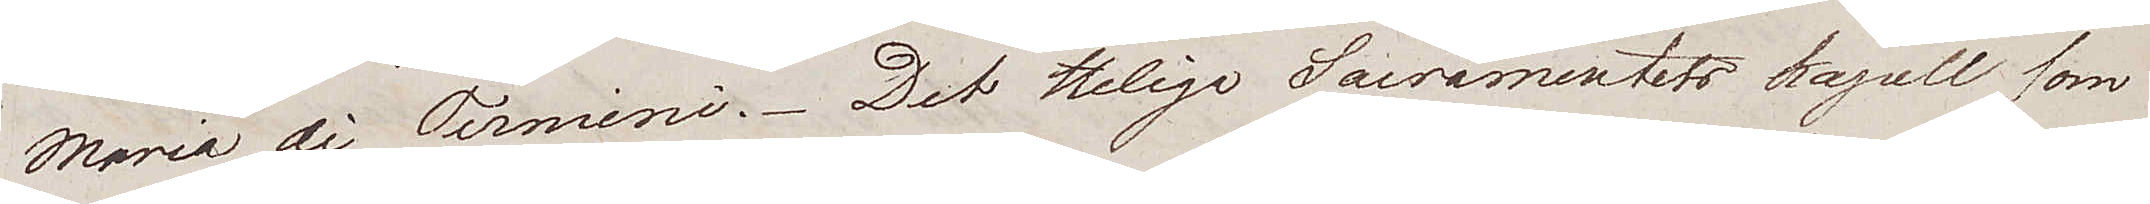Maria di Termini. Det Heliga Sacramentets kapell som
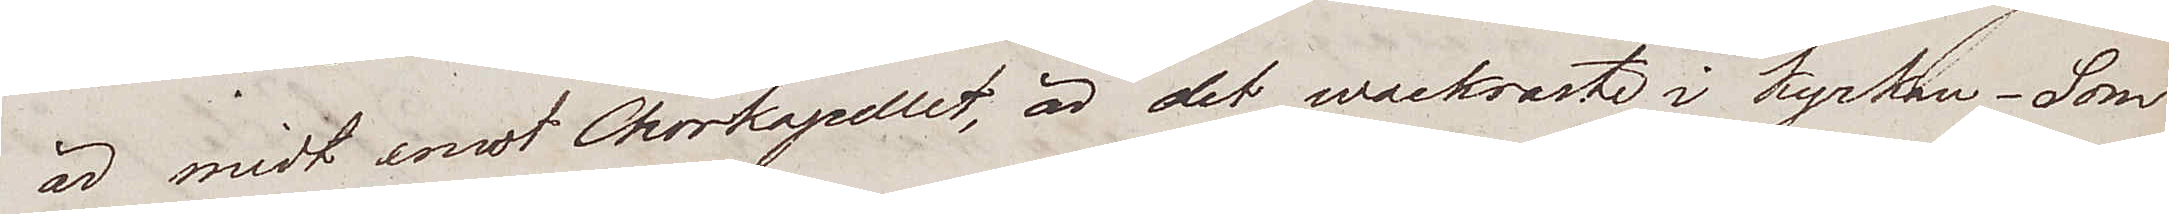är midt emot Chorkapellet, är det wackraste i kyrkan – Som
